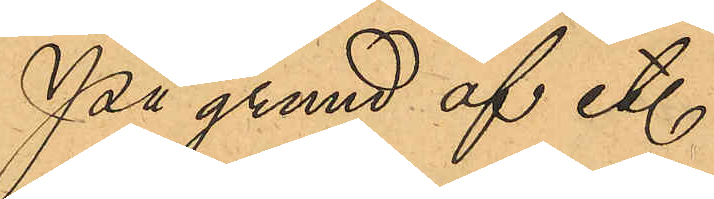På grund af et.
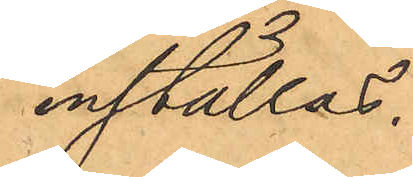inställas.
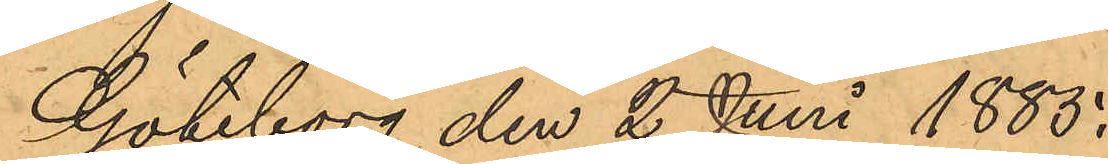Göteborg den 2 Juni 1885.
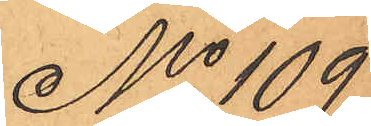No 109
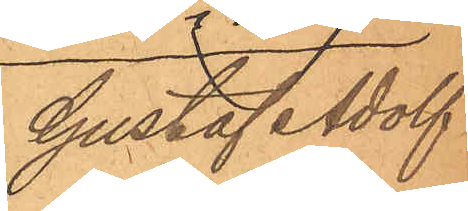Gustaf Adolf
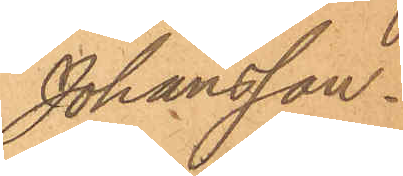Johansson.
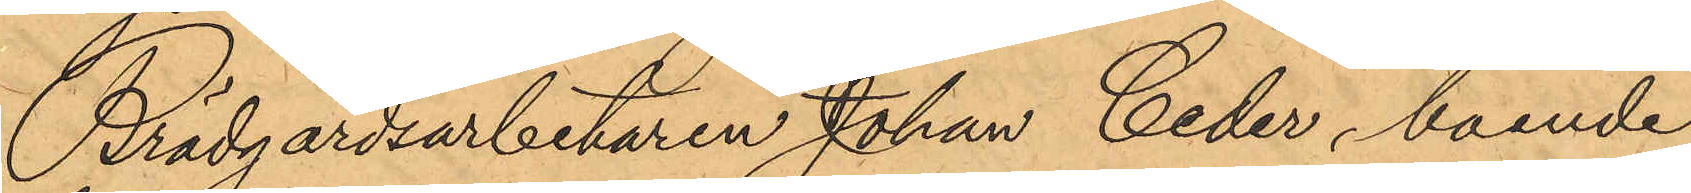Brädgårdsarbetaren Johan Ceder, boende
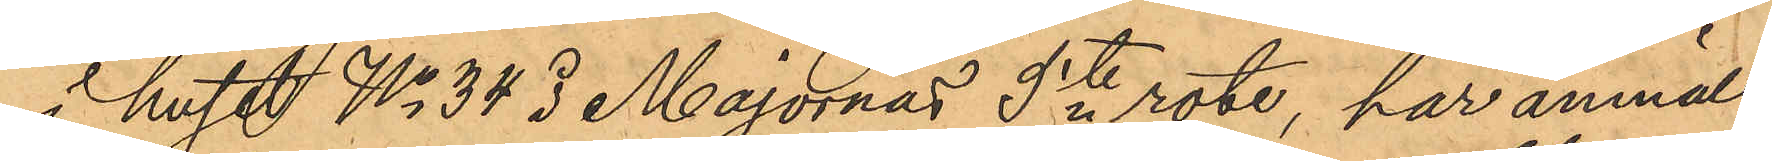i huset No 34 i Majornas 5te rote, har anmält
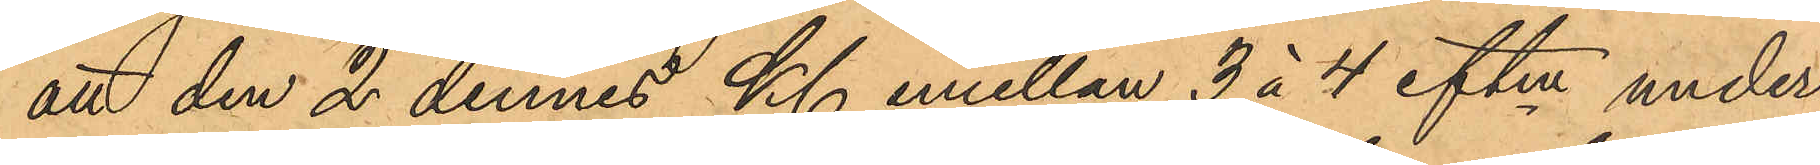att den 2 dennes Kl. emellan 3 á 4 eftm under
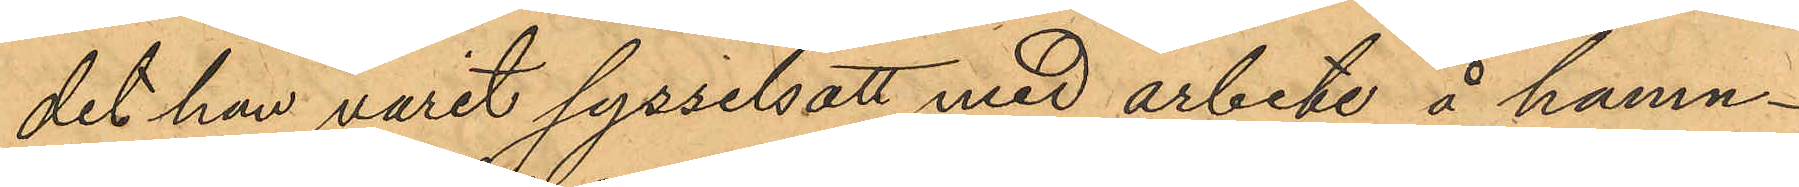det han varit sysselsatt med arbete å hamn¬
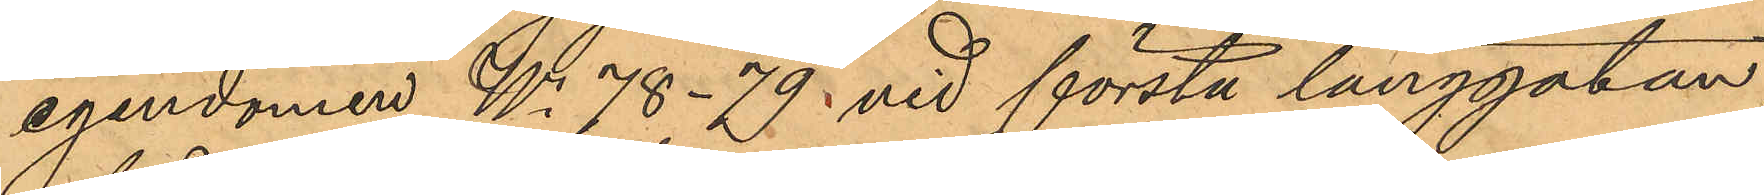egendomen No 78 - 79 vid första långgatan,
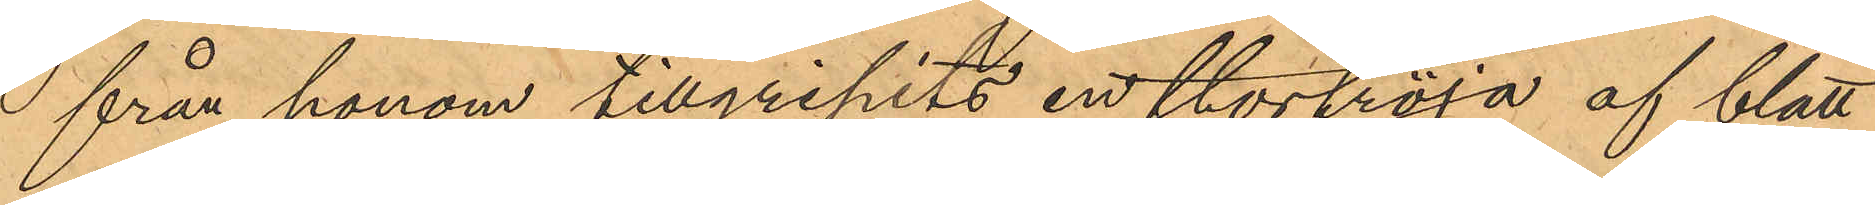från honom tillgripits en stortröja af blått
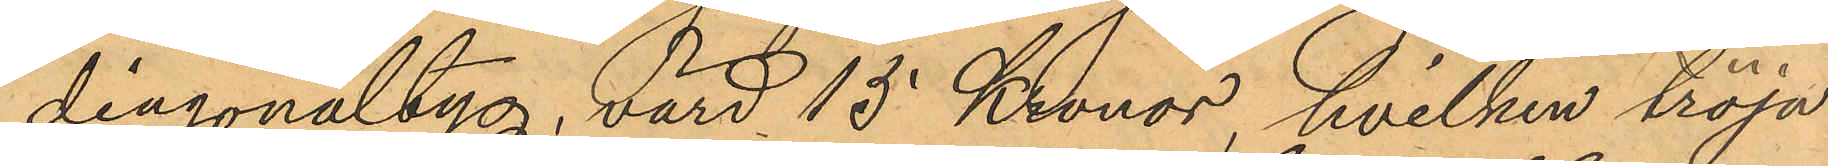diagonaltyg, värd 15 Kronor, hvilken tröja
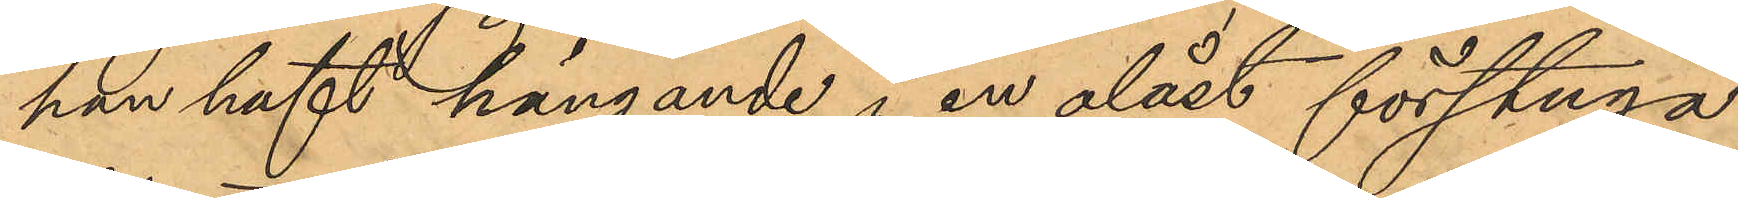han haft hängande i en olåst förstuga
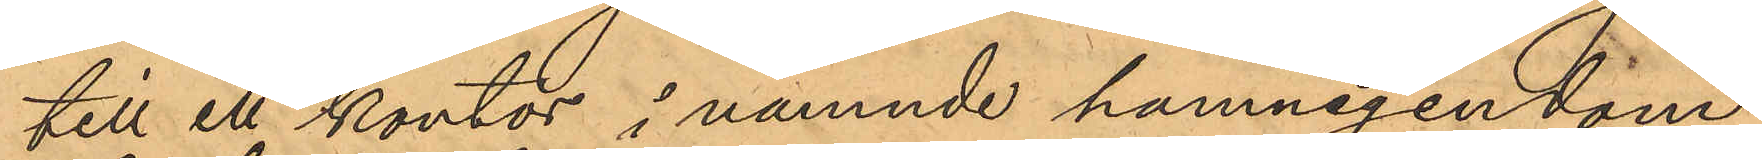till ett kontor i nämnde hamnegendom,
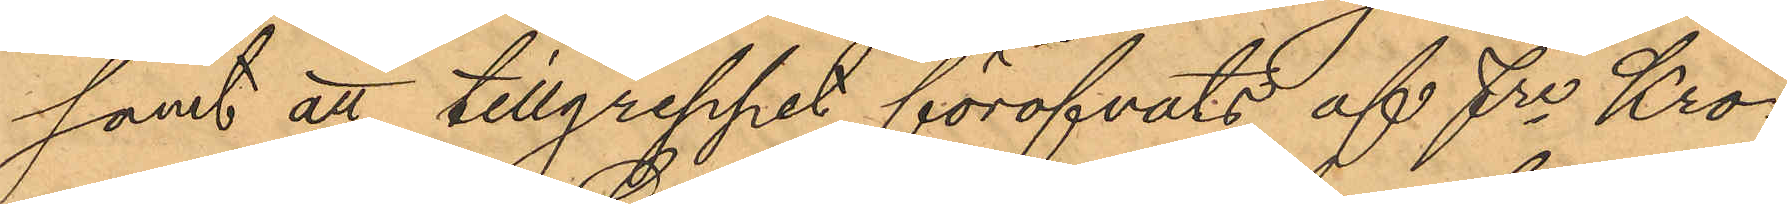samt att tillgreppet föröfvats af fre Kro¬
